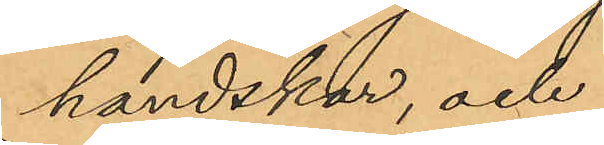handskar, och
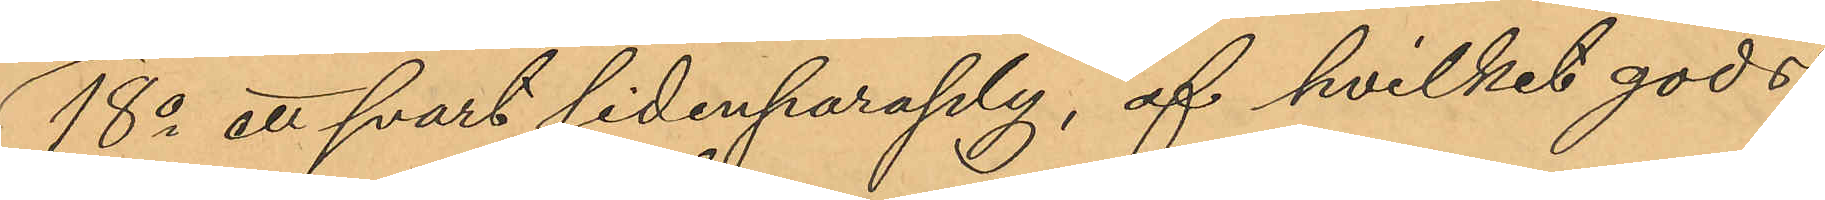18o ett svart sidenparaply, af hvilket gods
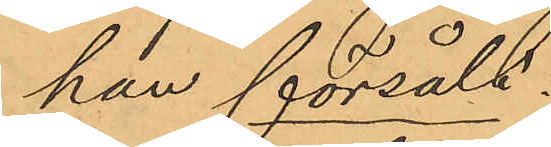han försåld:
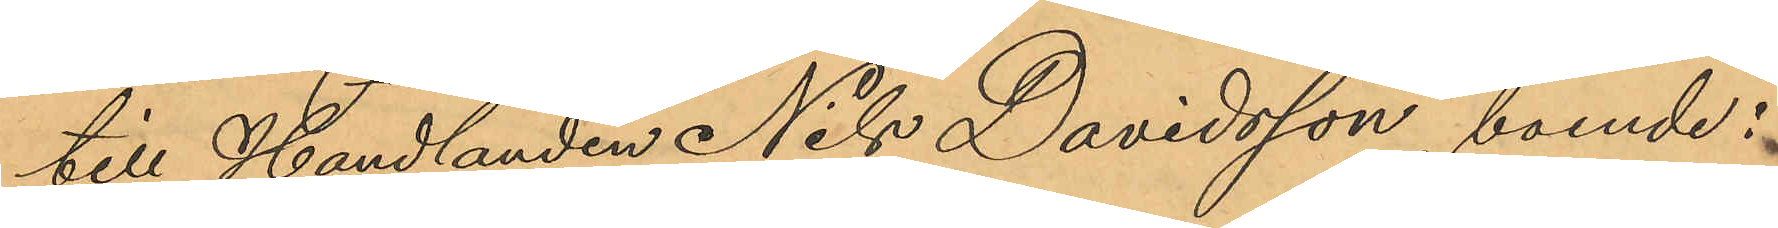till Handlanden Nils Davidsson, boende i
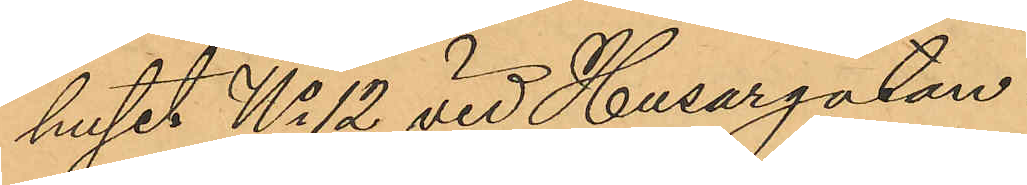huset No 12 vid Husargatan:
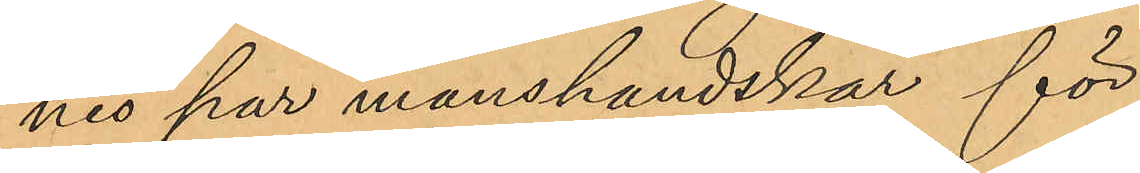nio par manshandskar för
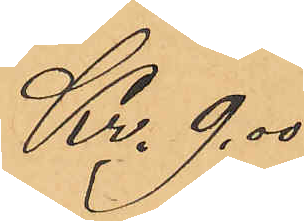Kr. 9,00
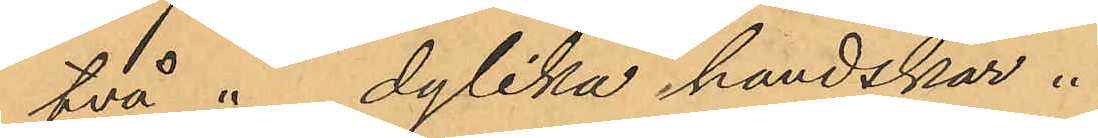två " dylika handskar "
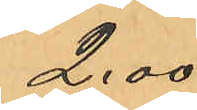2,00
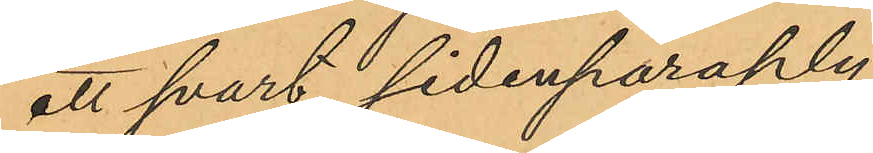ett svart sidenparaply
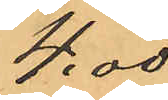4,00
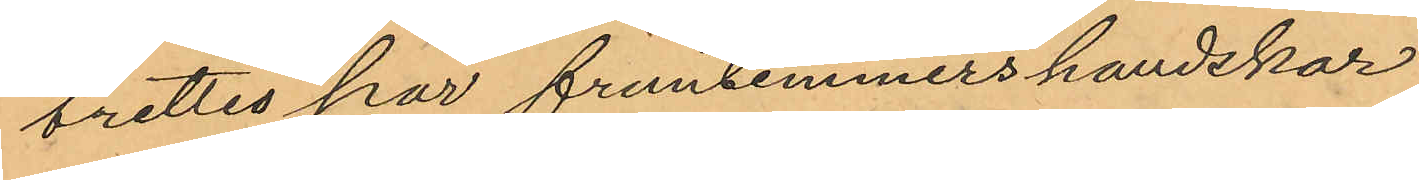Trettio par fruntimmers handskar
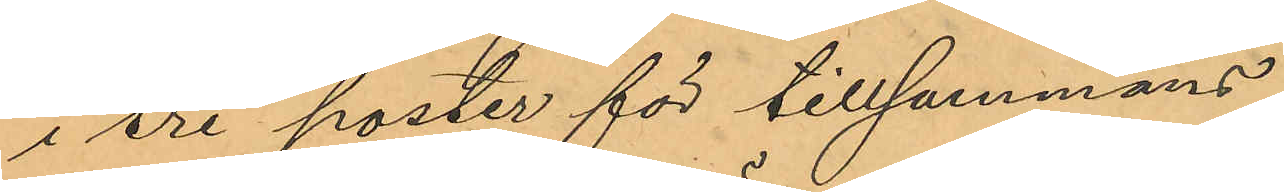i tre poster för tillsammans
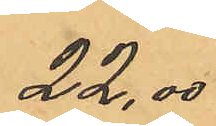22,00
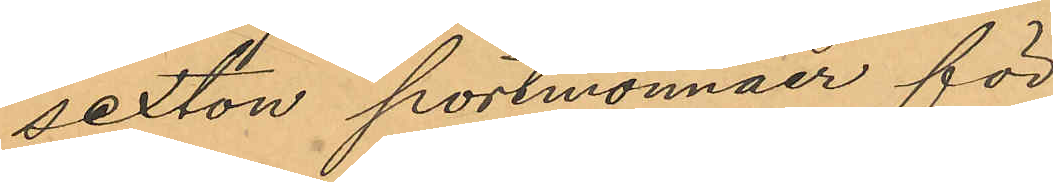sexton portmonnäer för
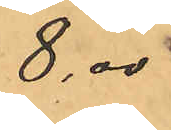8,00
